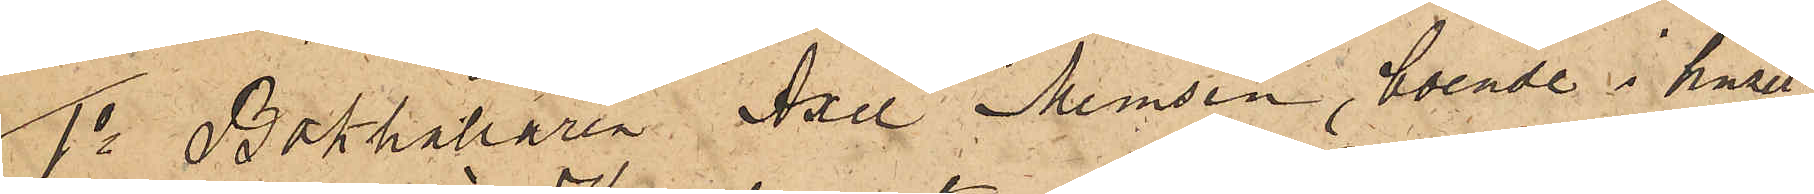1o Bokhållaren Axel Memsen, boende i huset
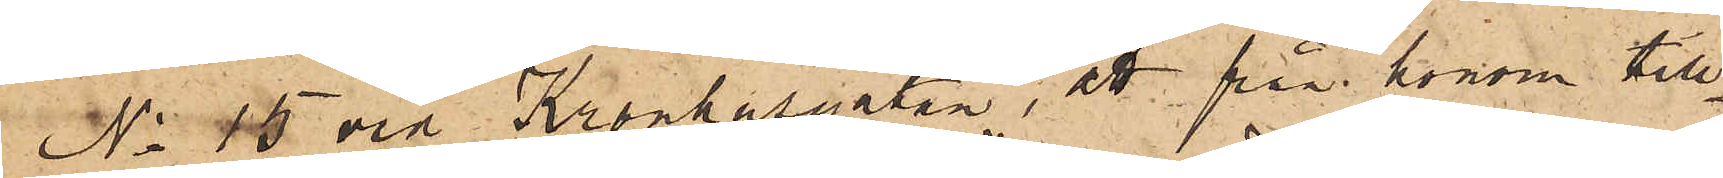No 45 vid Kronhusgatan, att från honom till¬
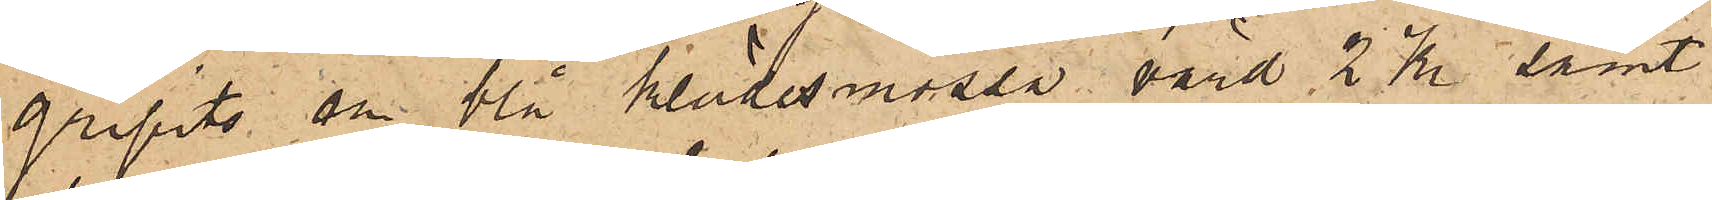gripits en blå klädesmössa värd 2 Kr samt
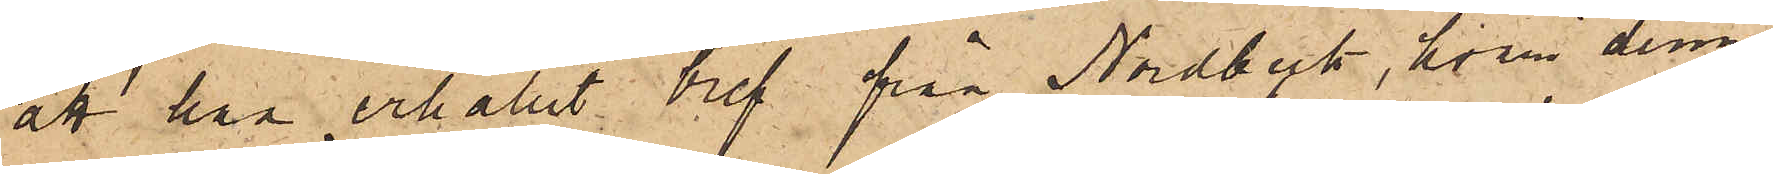att han erhållit bref från Nordbeck, hvari denne
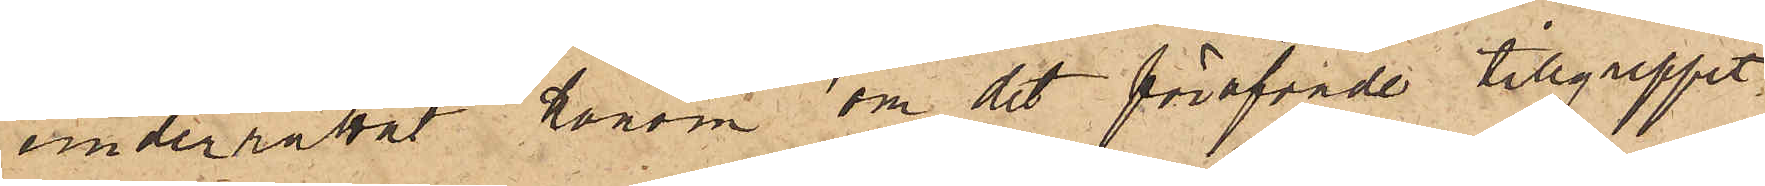underrättat honom om det föröfvade tillgreppet,
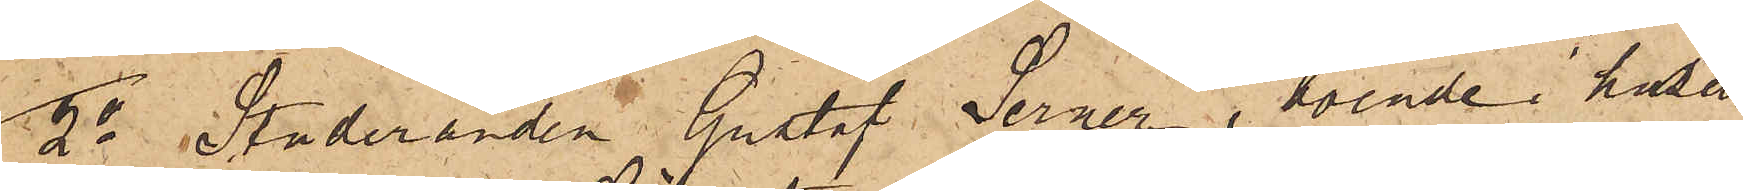2o Studeranden Gustaf Serner, boende i huset
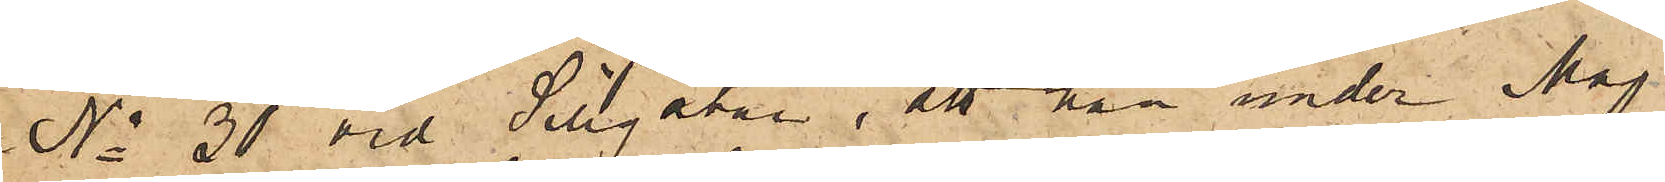No 30 vid Sillgatan, att han under Maj
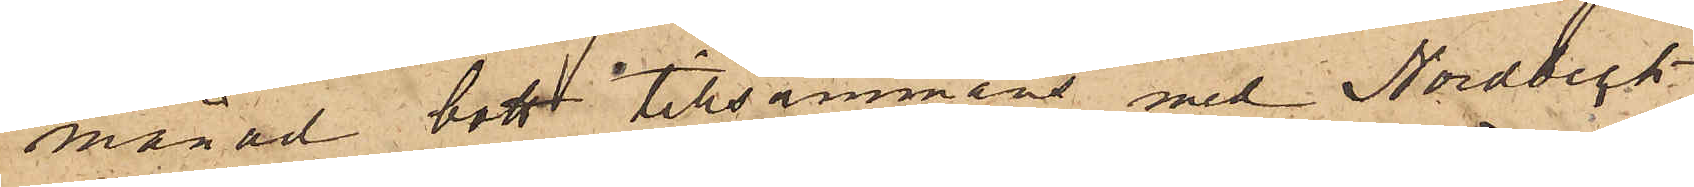månad bott tillsammans med Nordbeck
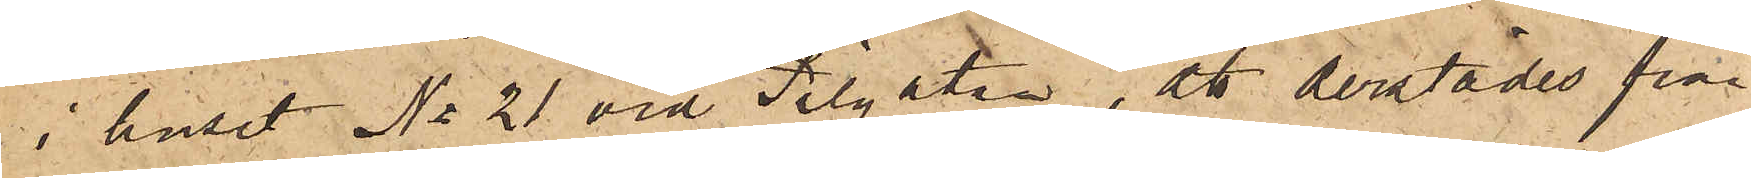i huset No 21 vid Pilgatan, att derstädes från
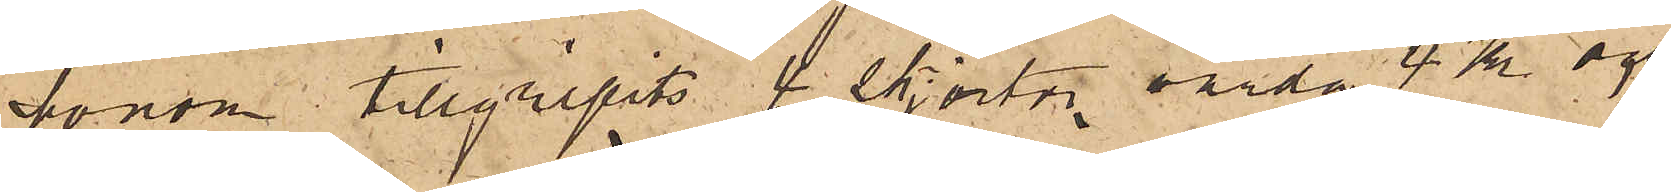honom tillgripits 4 skjortor, värda 4 Kr och
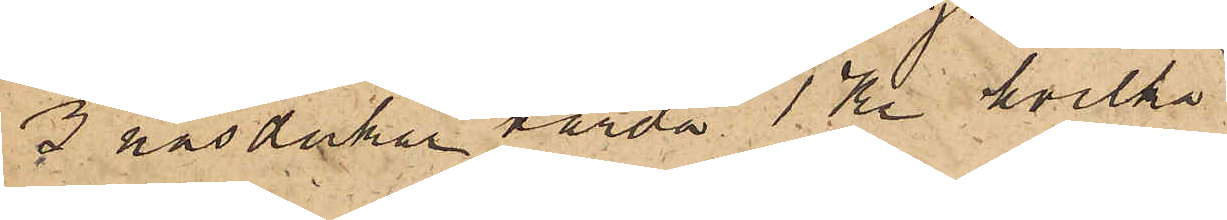3 näsdukar värda 1 Kr hvilka
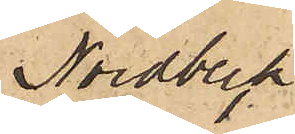Nordbeck
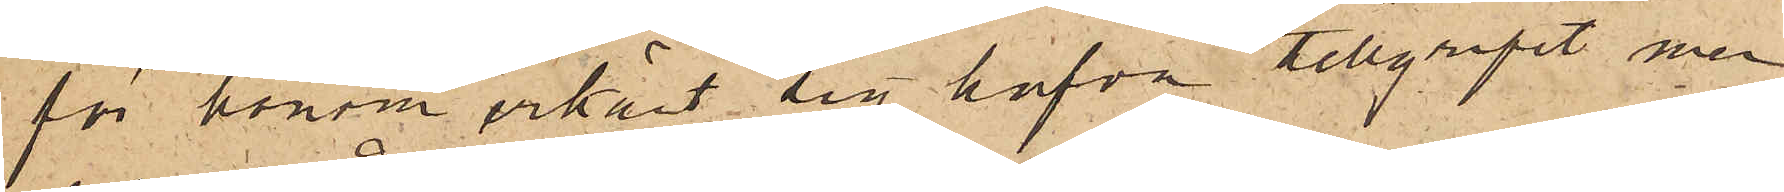för honom erkänt sig hafva tillgripit men
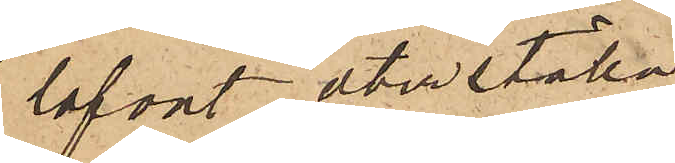lofvat återställa.
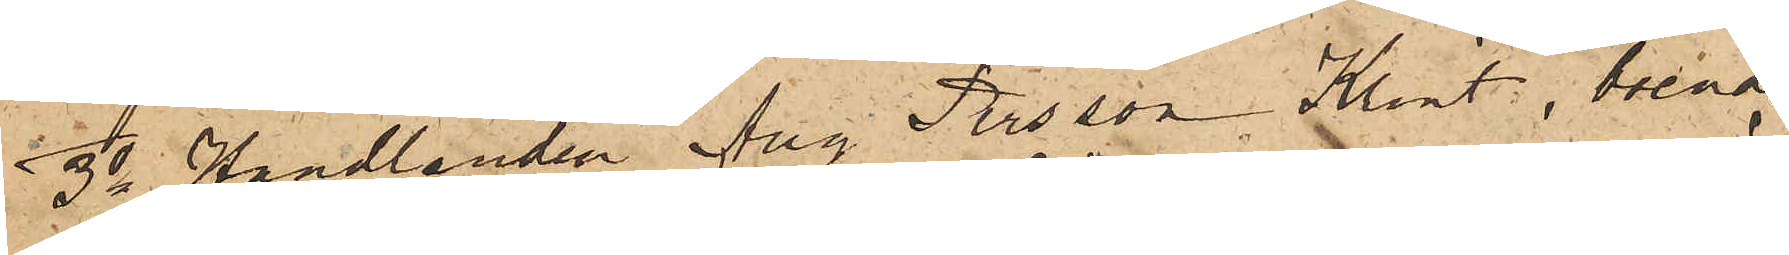3o Handlanden Aug Persson Klint, boende
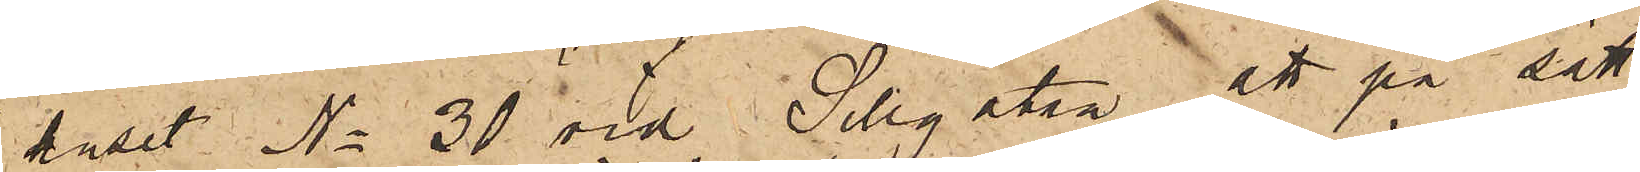huset No 30 vid Sillgatan, att på sätt
